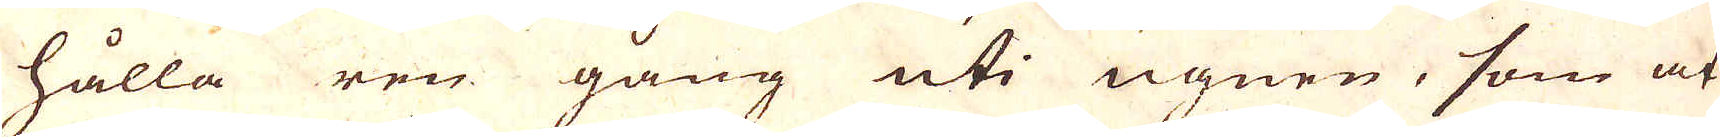hålla ren gång uti ugnen, som at
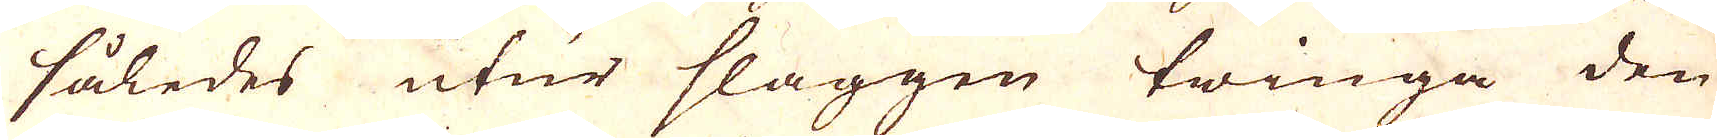således utur slaggen twinga den
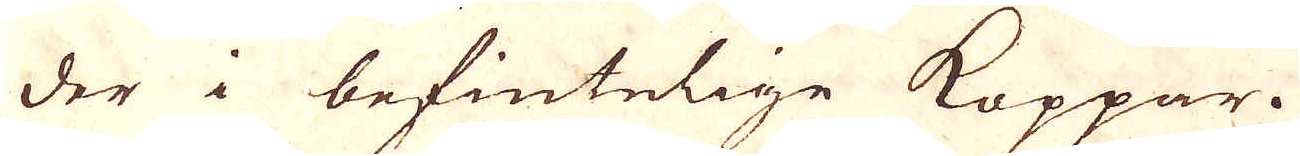der i befintelige Koppar.
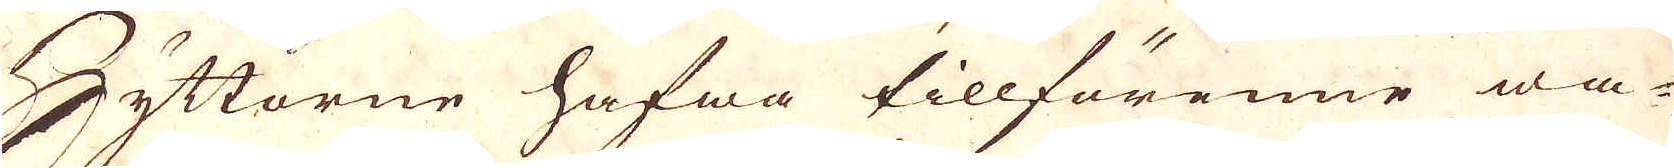Hyttorne hafwa tillförenne wa-
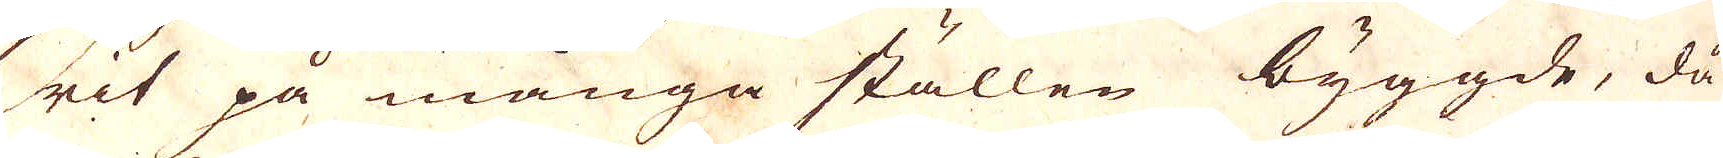rit på många ställen byggde, då
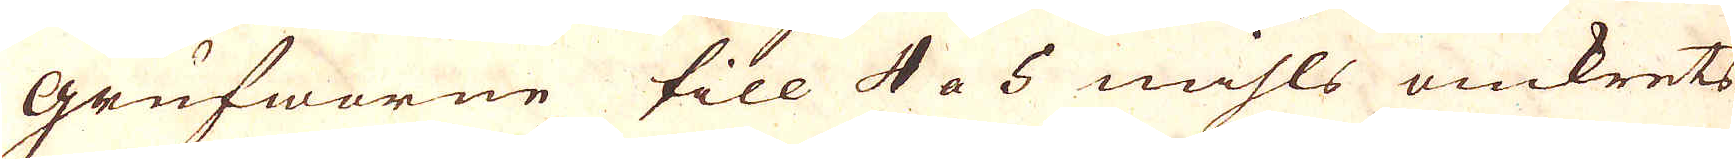grufworne till 4 a 5 mihls omkrets
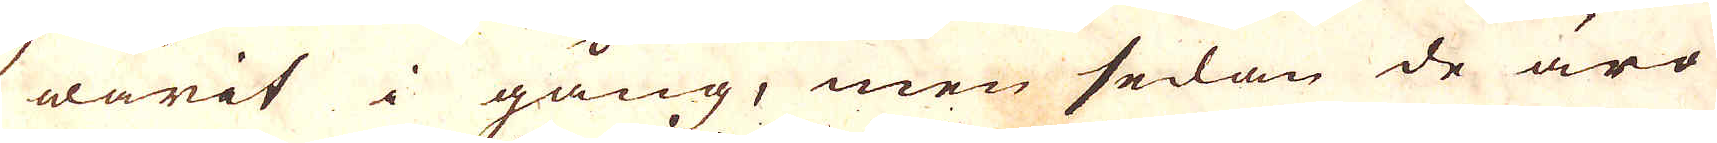warit i gång, men sedan de äro
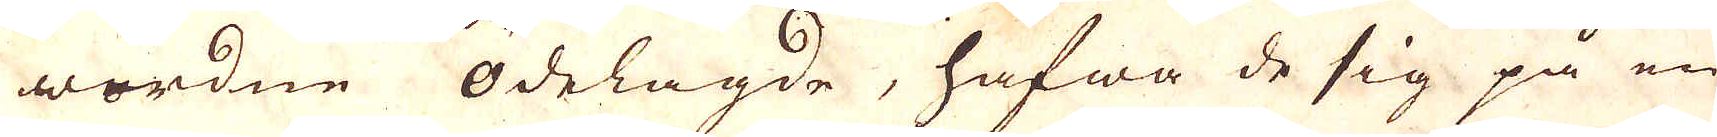wordne ödelagde, hafwa de sig på en
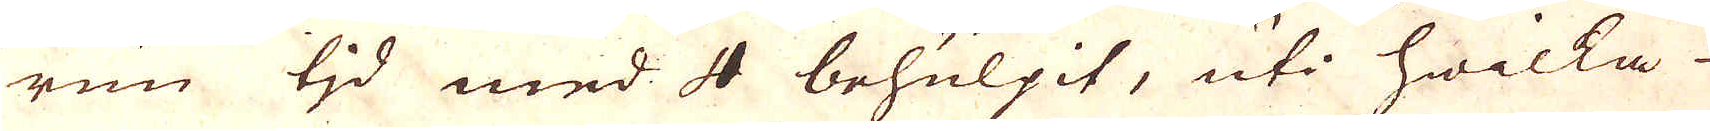run tjd med 4 behulpit, uti hwilka
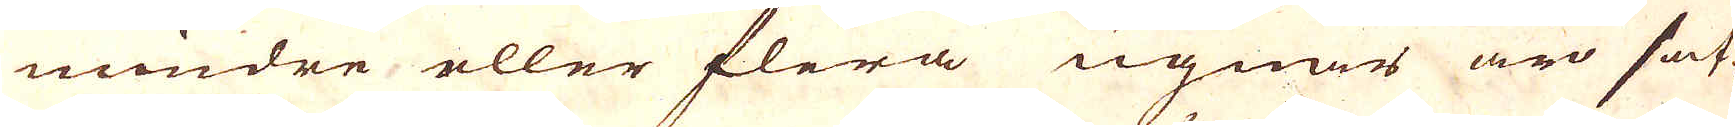mindre eller flera ugnar äro sat-
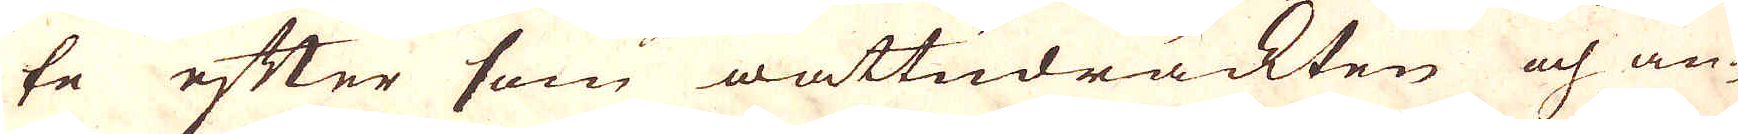te efter som wattudräckten och an-
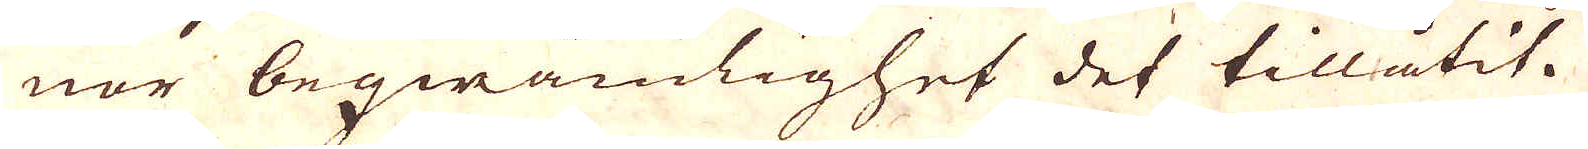nor beqwämlighet det tillåtit.
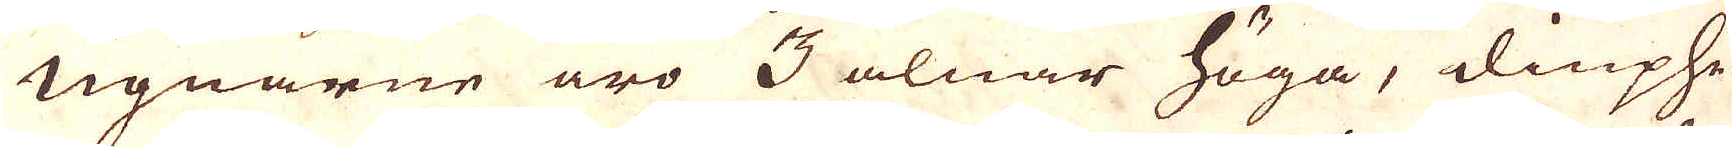Ugnarne äro 3 alnar höga, diuphe-
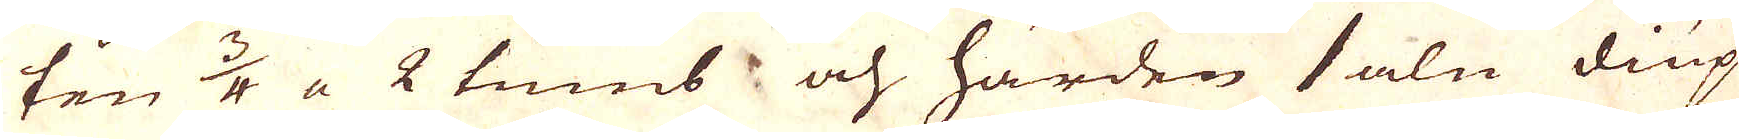ten 3/4 a 2 tums och härden 1 aln diup
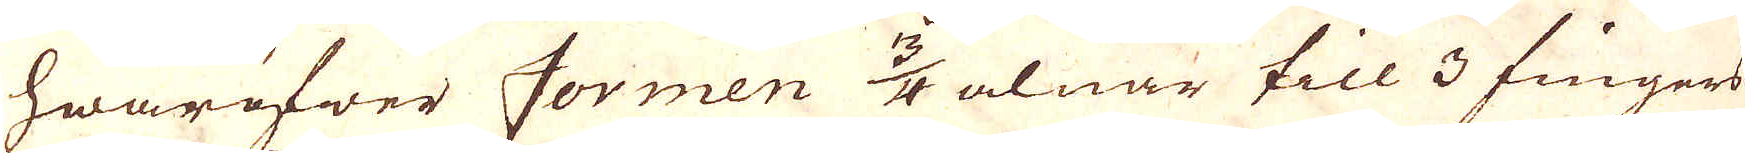hwaröfwer formen 3/4 alnar till 3 fingers
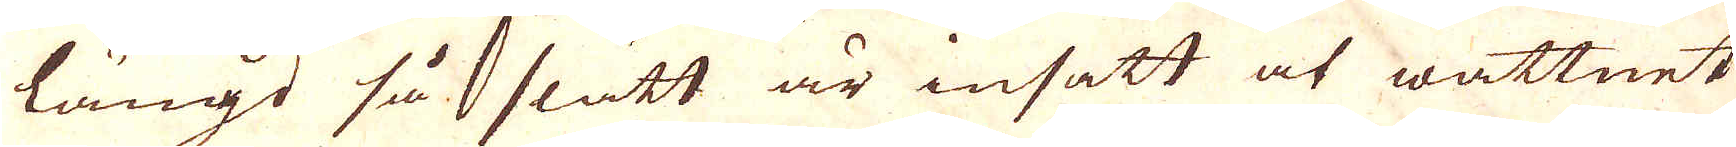längd så slätt är insatt at wattnet
